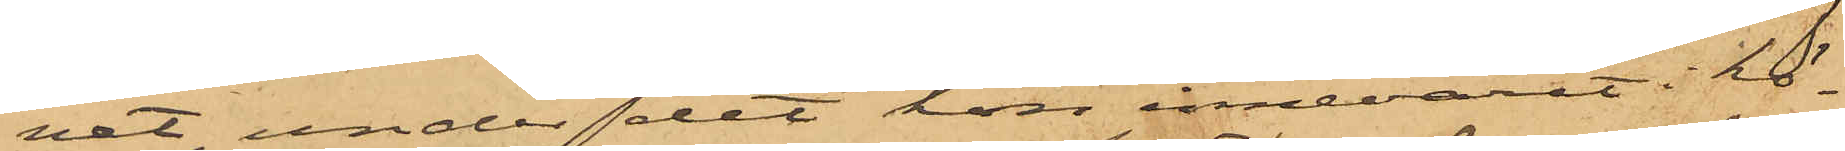vet under det hon innevarit i kö¬
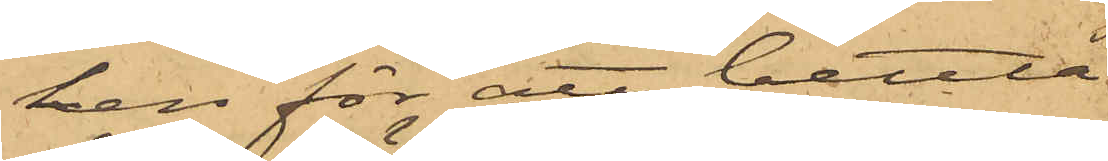ken för att bettla,
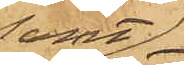samt
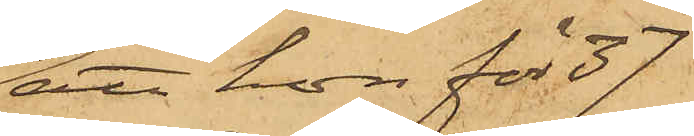att hon för 37
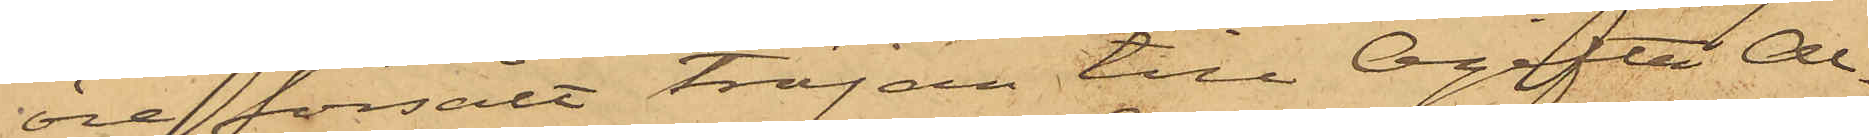öre försålt tröjan till Ogifta Al¬
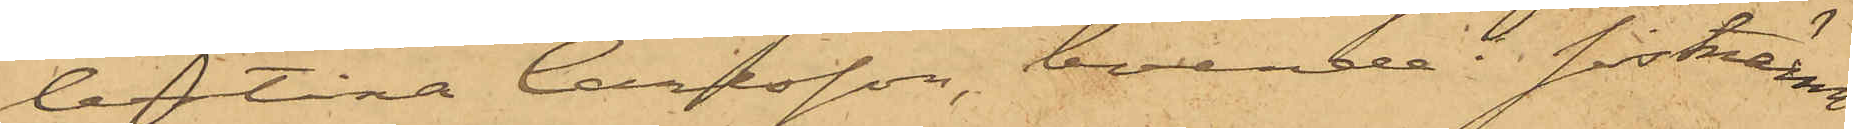bertina Carlsson, boende i sistnämn¬
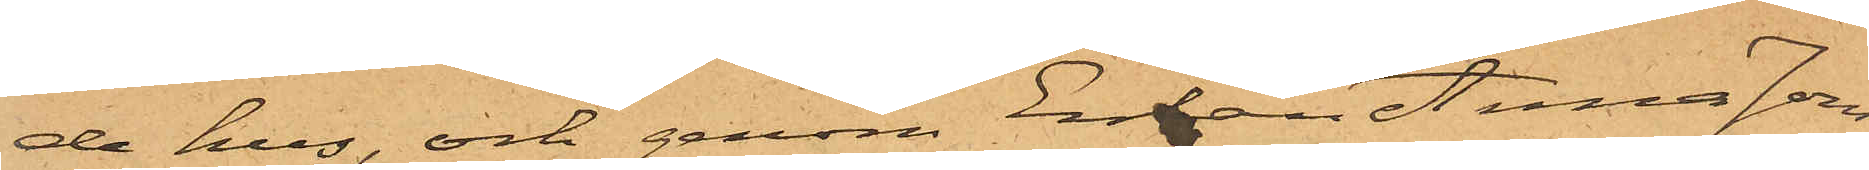de hus, och genom Enkan Anna Jons¬
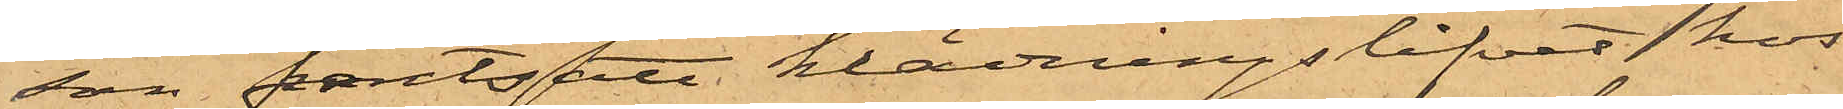son pantsatt klädningslifvet hos
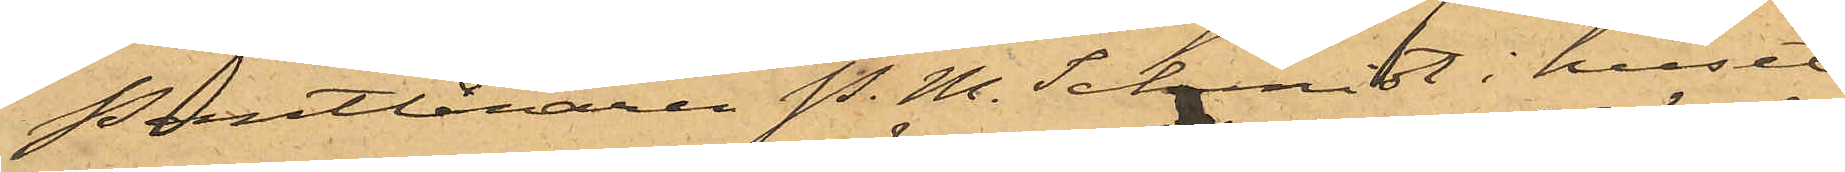Pantlånaren P. M. Schmidt i huset
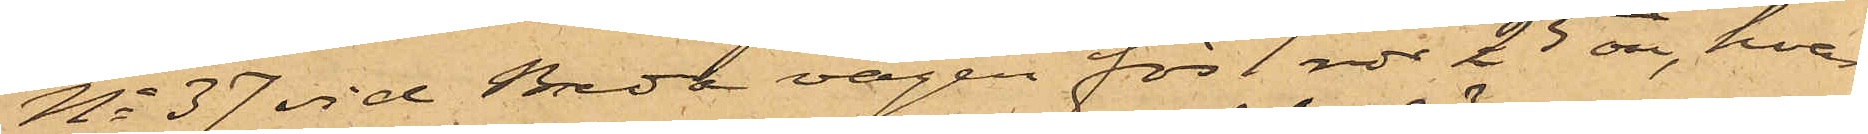No 37 vid Breda vägen för 1 rdr 25 öre, hvar¬
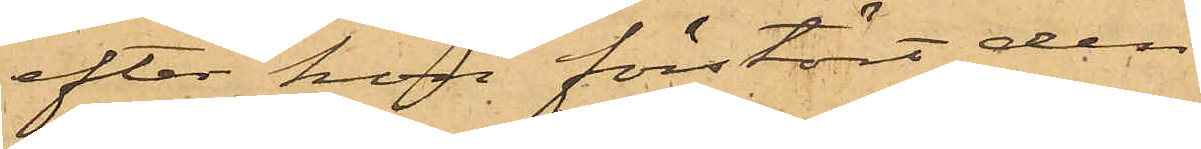efter hon förstört den
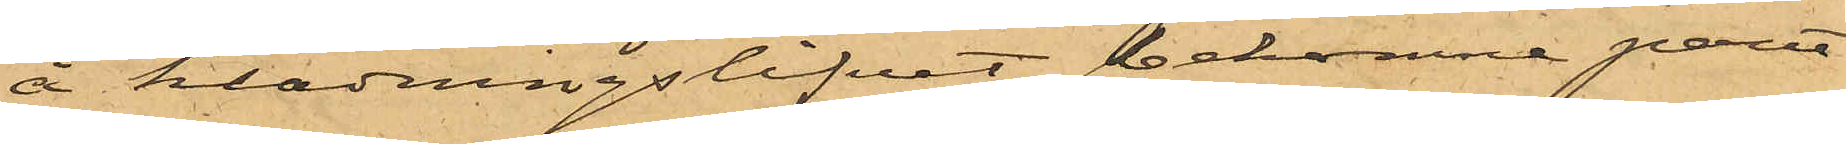å klädningslifvet bekomne pant¬
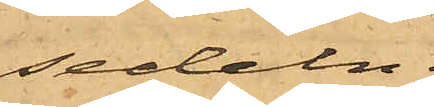sedeln.
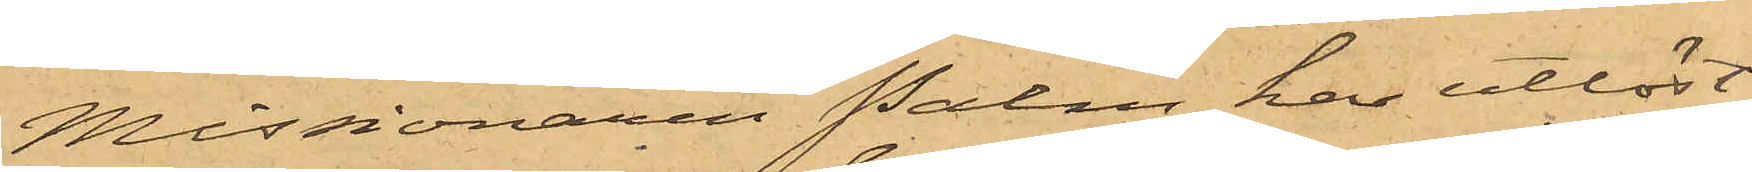Missionären Palm har utlöst
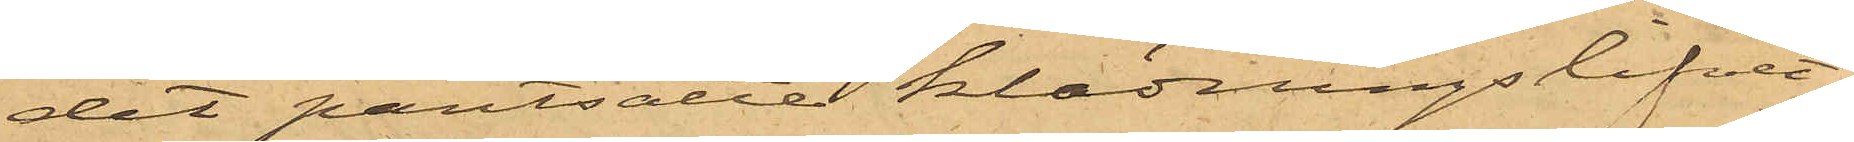det pantsatte klädningslifvet.
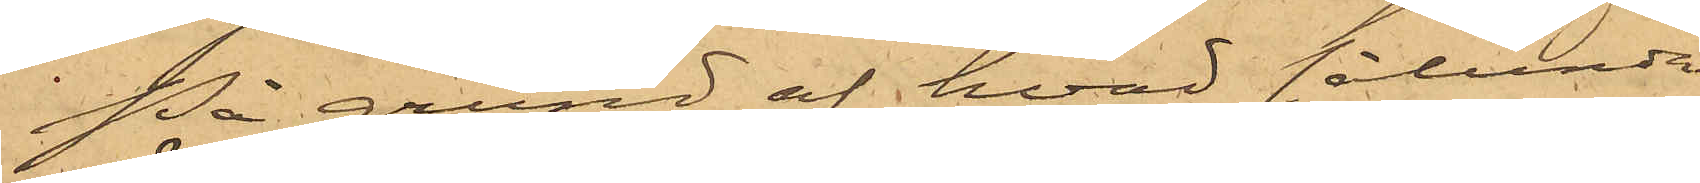På grund af hvad sålunda
